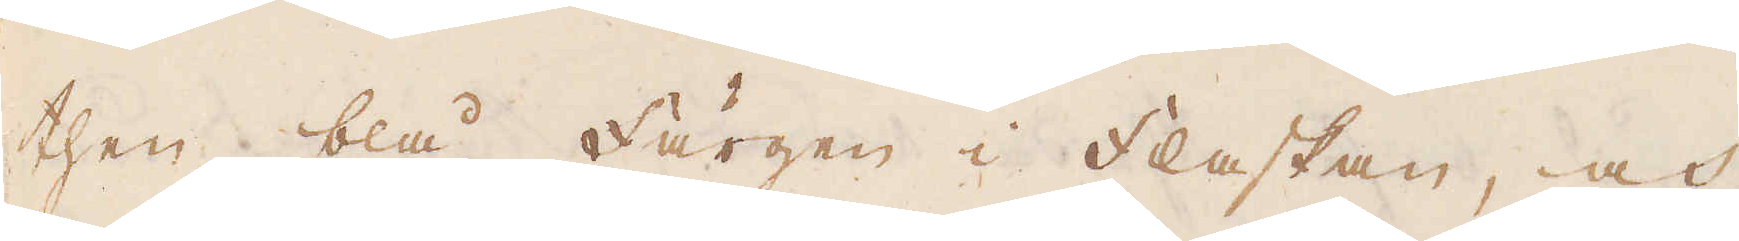then blå färgen i flaskan, och
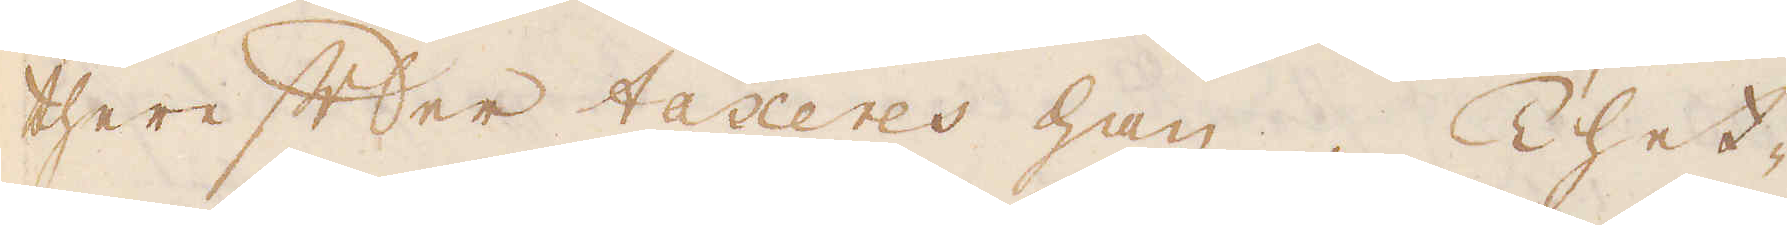therefter taxeres han. Thet-
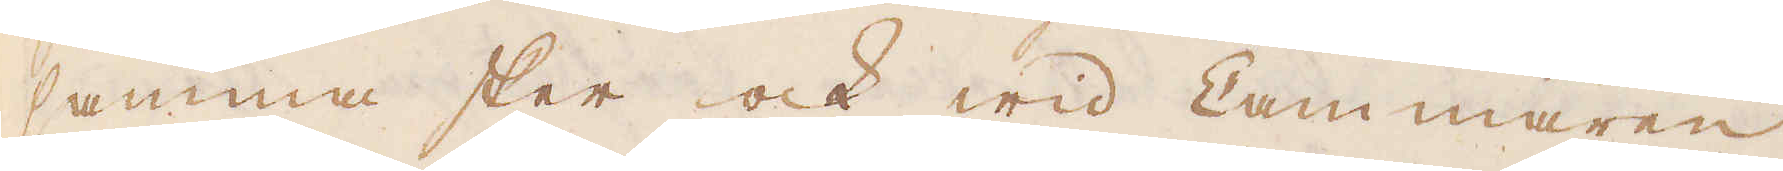samma sker ock wid Cammaren
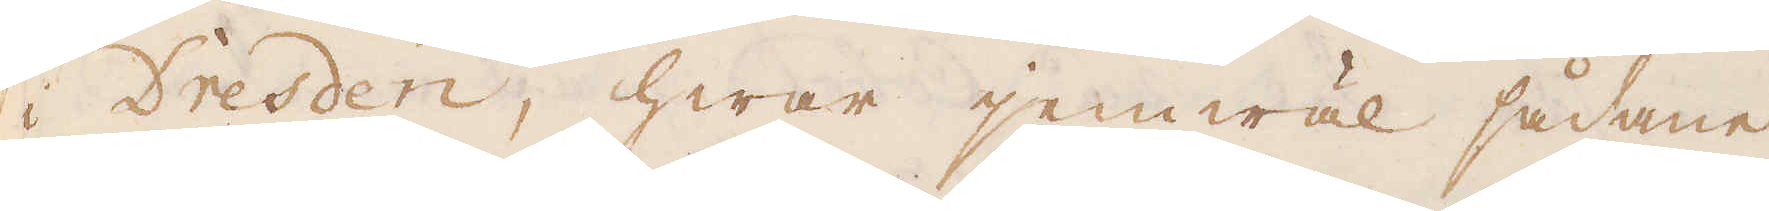i Dresden, hwar jemwäl sådane
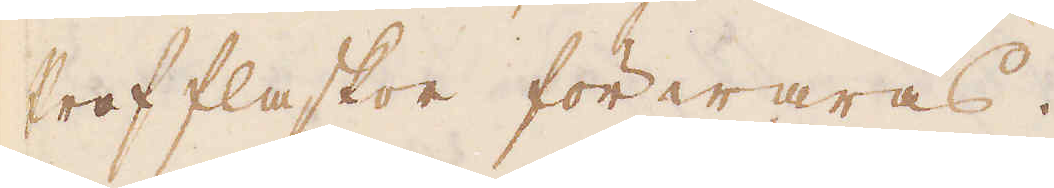Profflaskor förwaras.
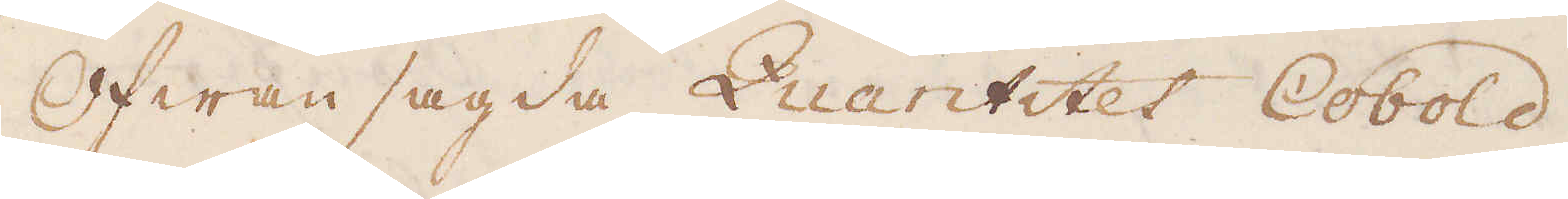Ofwansagda Quantitet Cobold
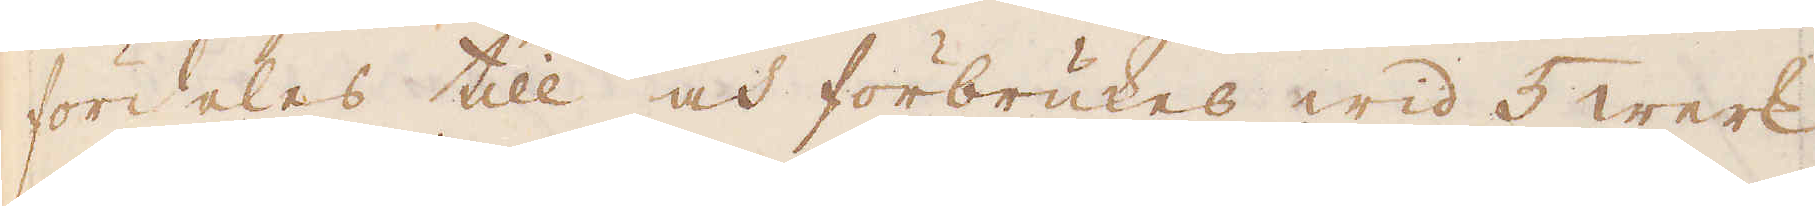fördeles till och förbrukes wid 5 werk
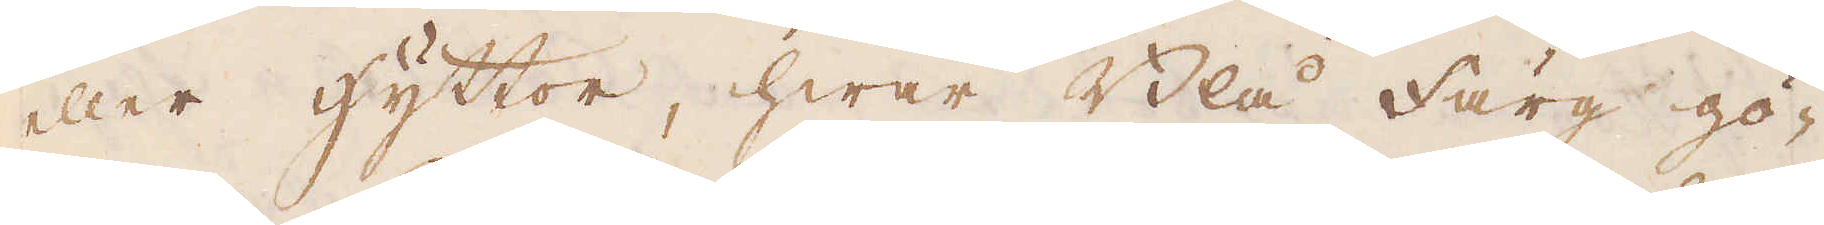eller hyttor, hwar Blå färg gö-
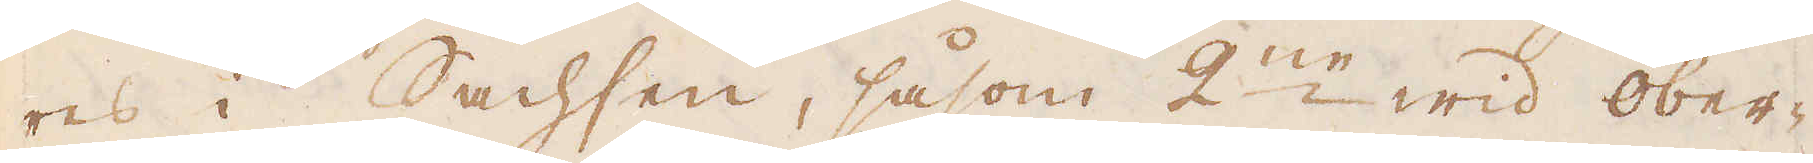res i Sachsen, såsom 2:ne wid ober-
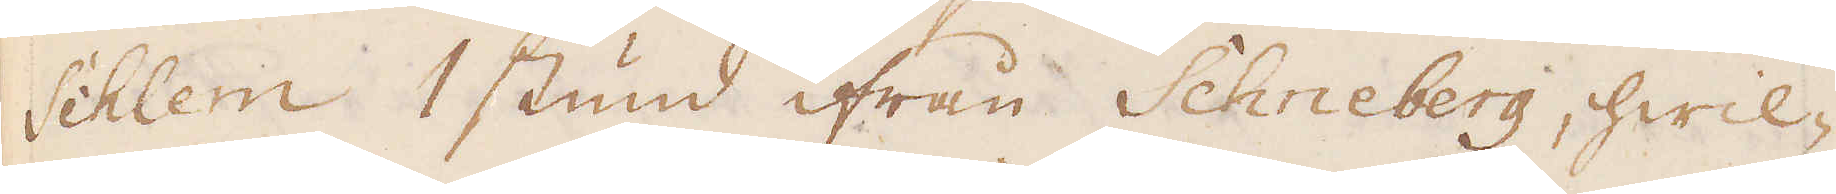Schlem 1 stund ifrån Schneberg, hwil-
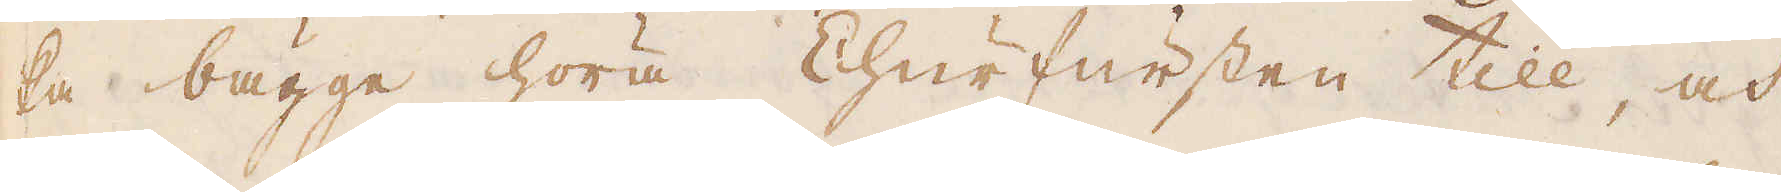ka bägge höra Churfursten till, och
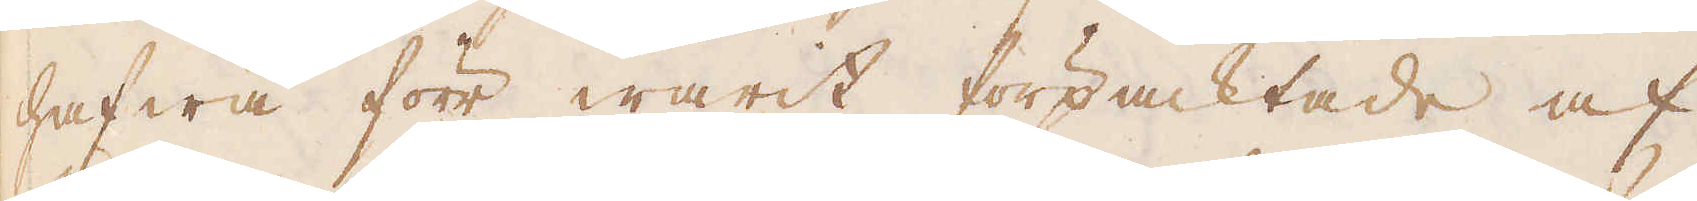hafwa förr warit förpacktade af
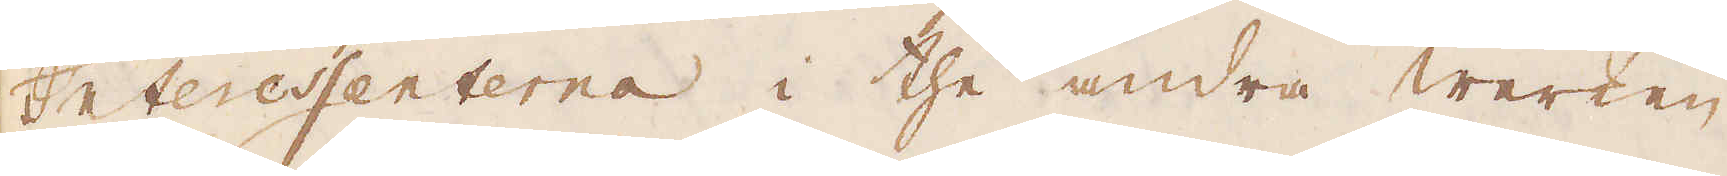Interessenterna i the andra werken
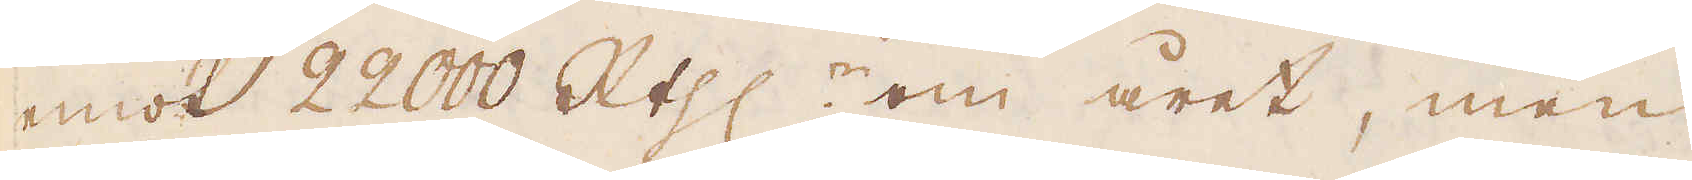emot 22000 R:thlr om året, men
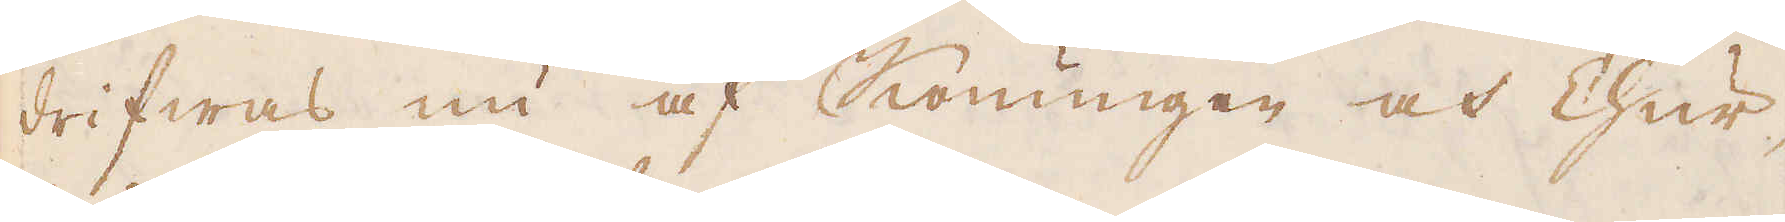drifwas nu af Konungen och Chur-
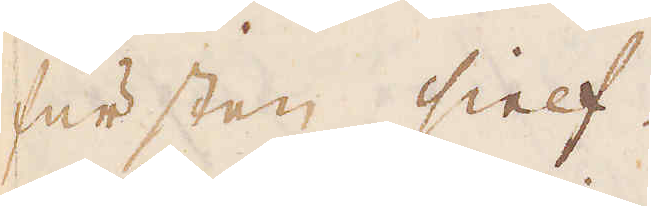fursten sielf.
